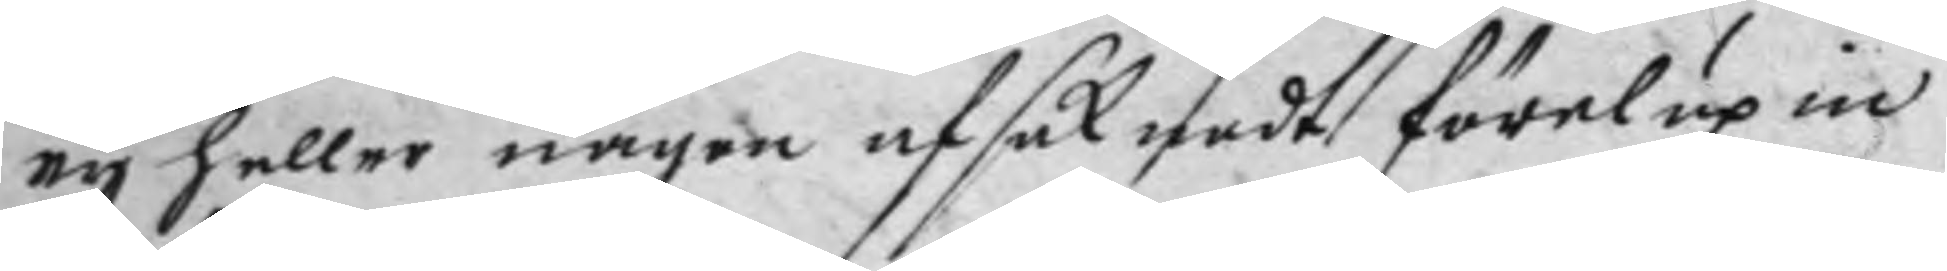ey heller någen afsaknadt förelupin
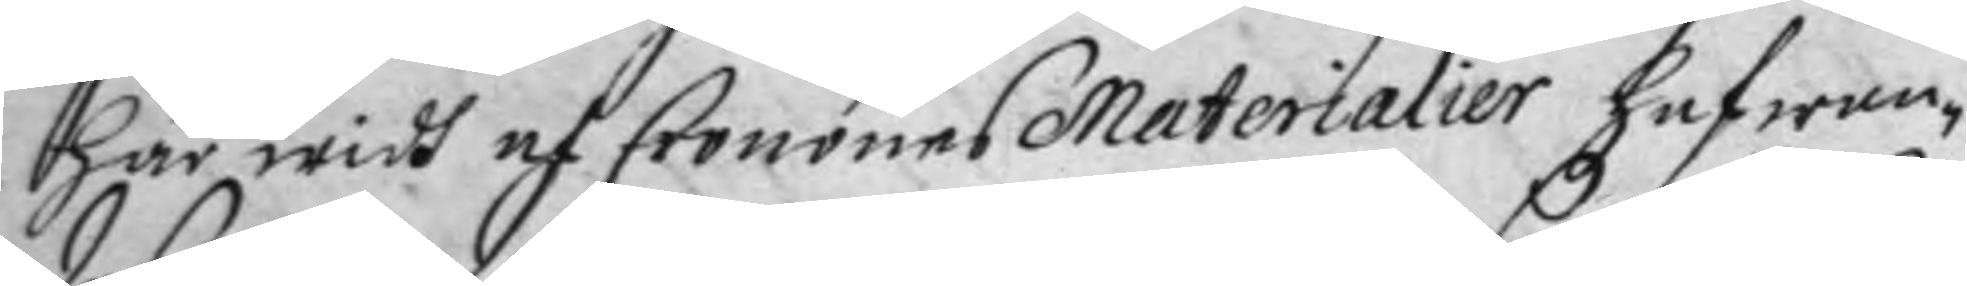här widh af Cronones Materialer hafwan¬
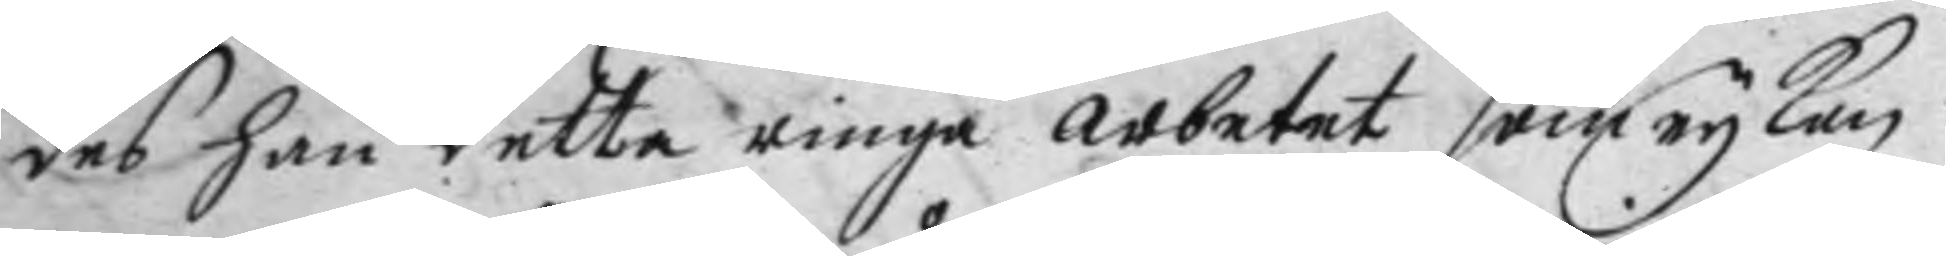des han detta ringa arbetet som ey kan
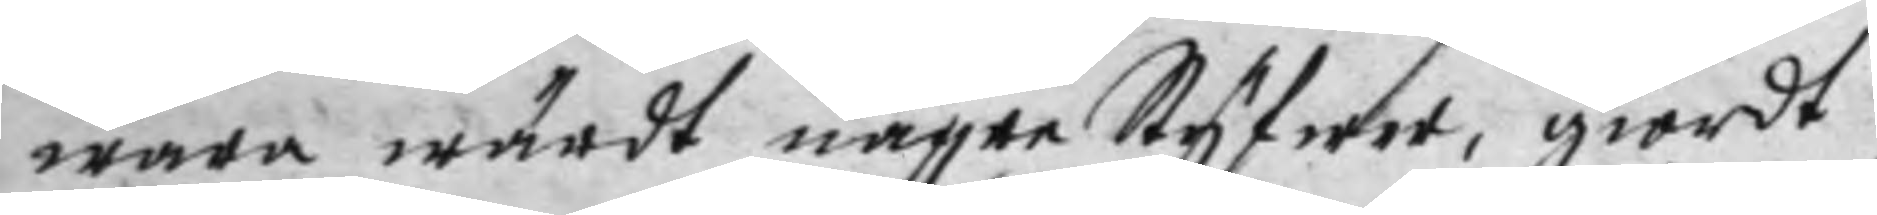wara wärdt någre Styfwer, giordt
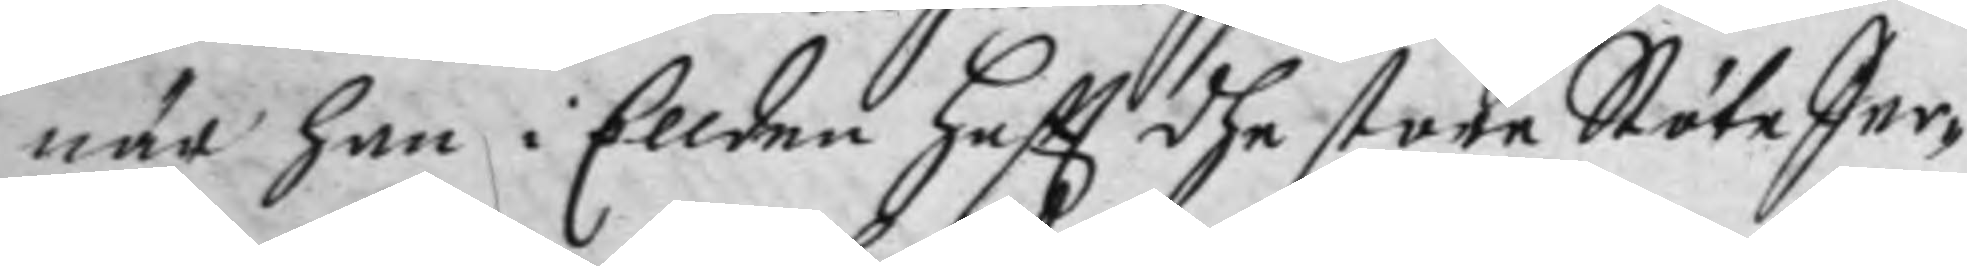när han i Ellden haftt dhe store Stöte Jer¬
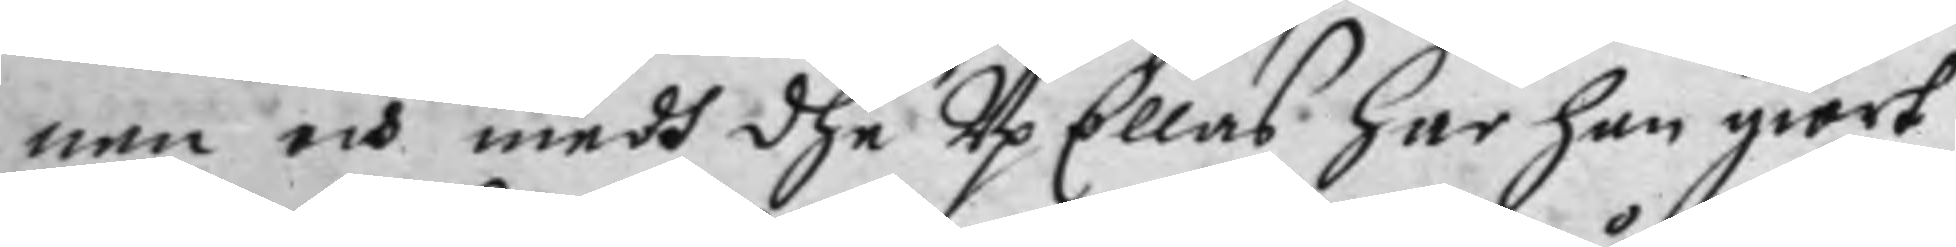nen och medh dhe Up Ellas har han giort
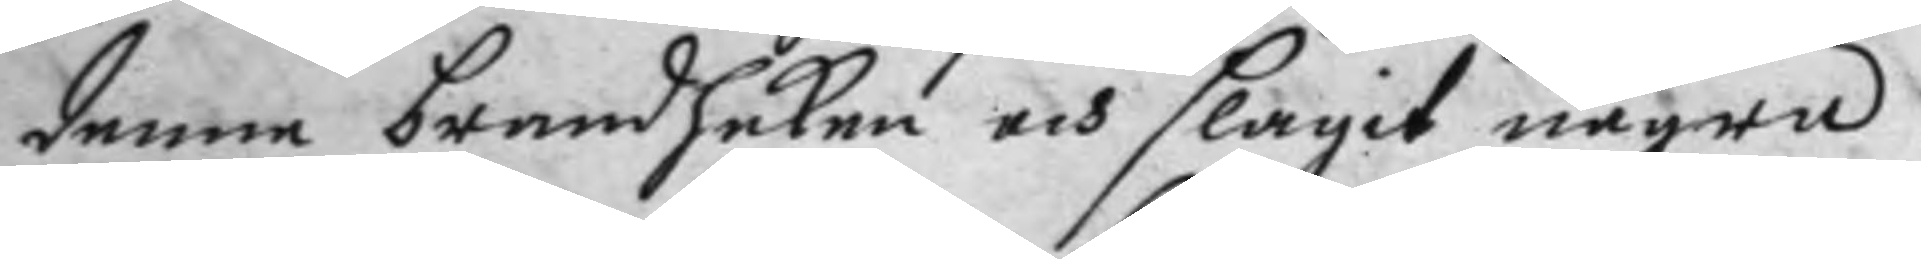denne brandhaken och slagit några
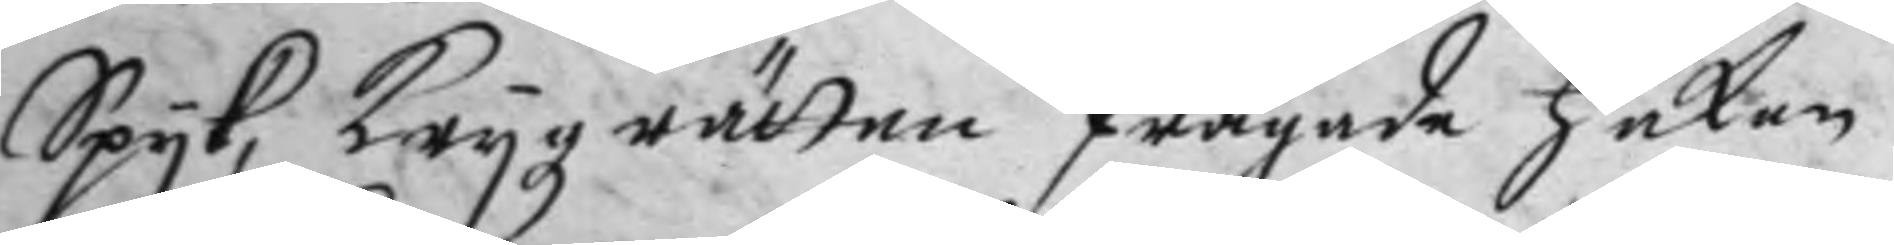Spyk, Krygz rätten frågade Håkan
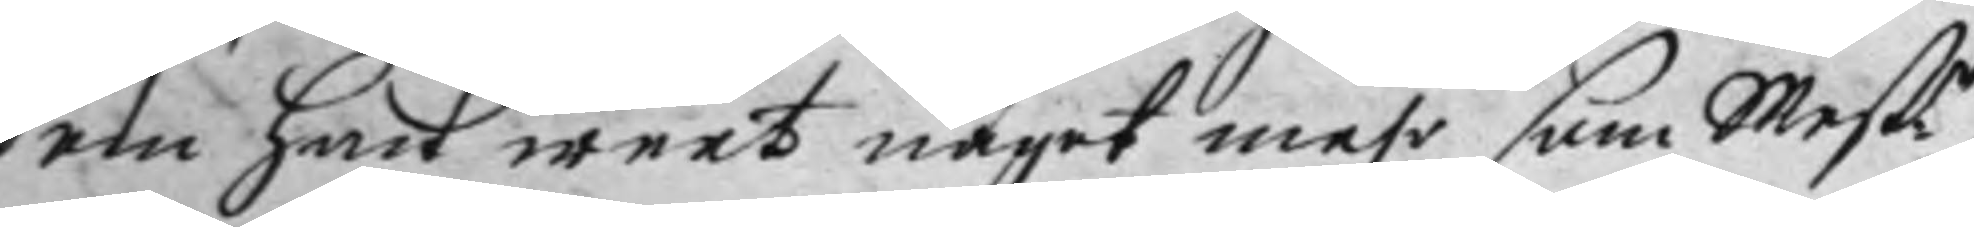om han weet något mehr som Mest.r
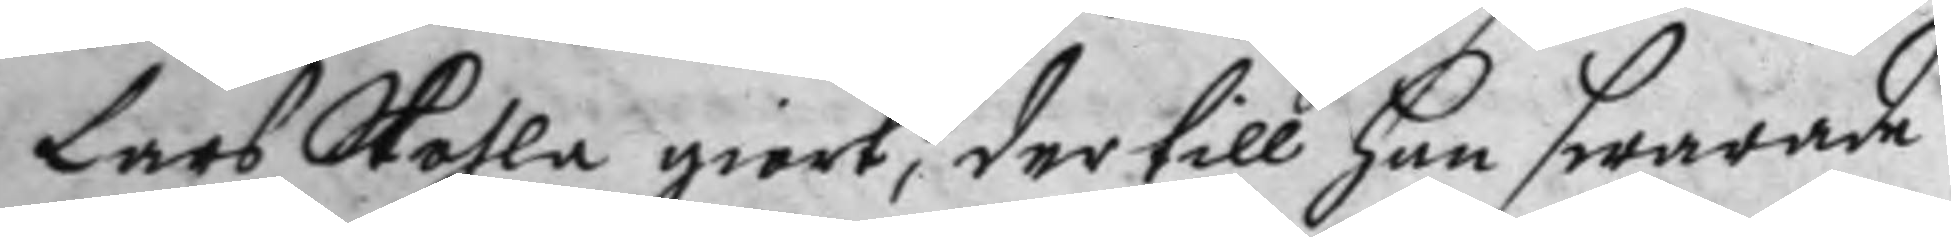lars Skohla giort, der till han swarade
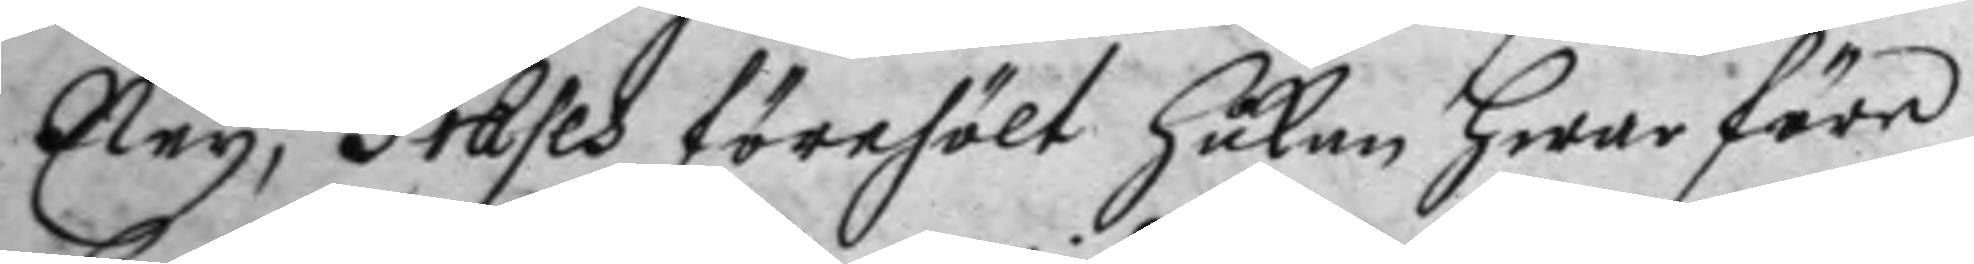Ney, Præses förehölt Håkan hwarföre
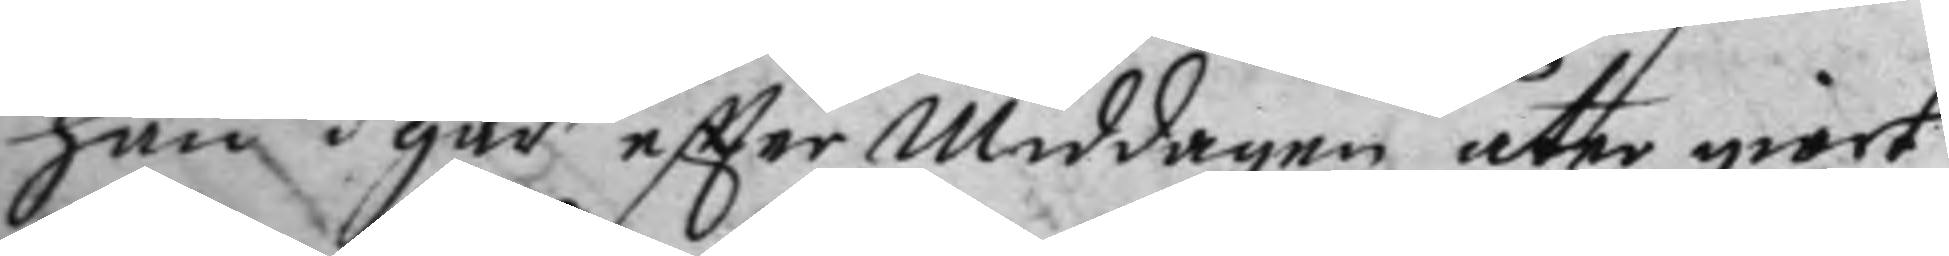han igår efter Middagen åter giort
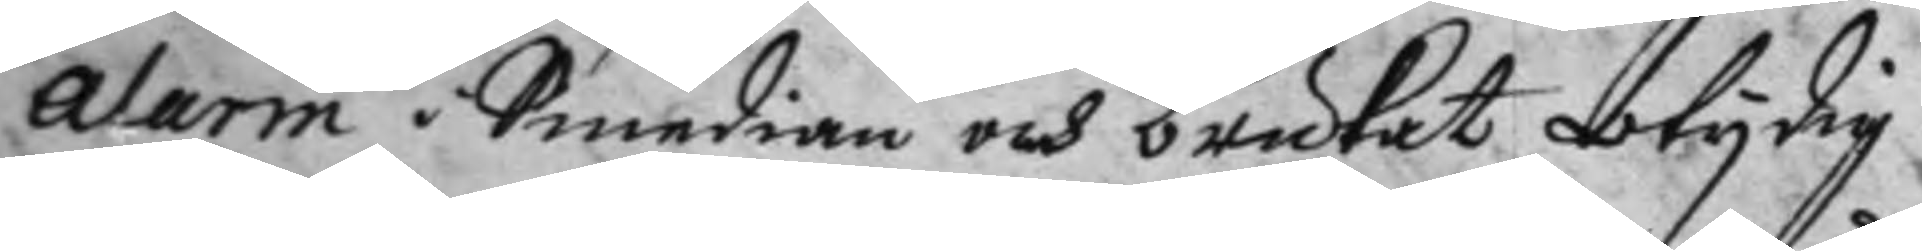Alarm i Smedian och bruckat otydig
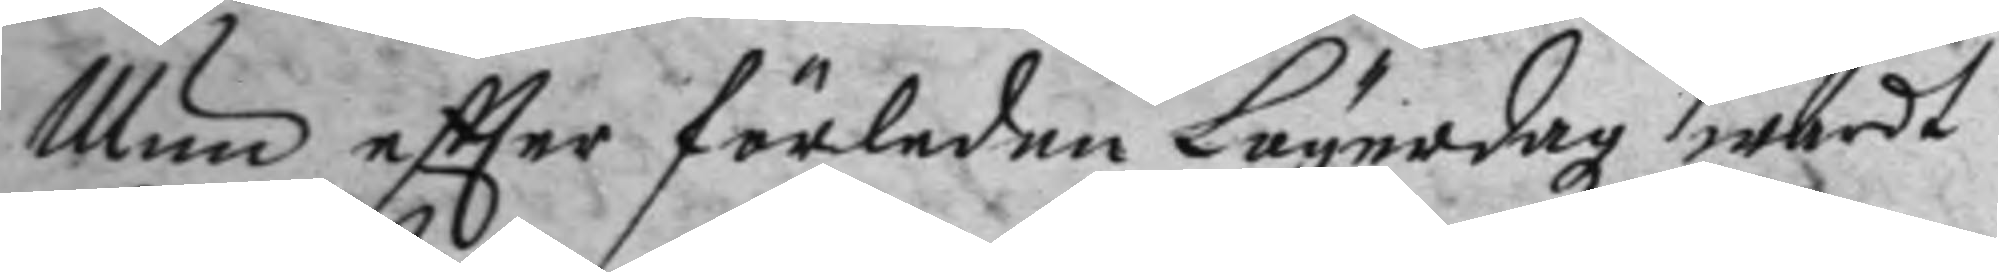Mun eftter förledne Lögerdag wardt
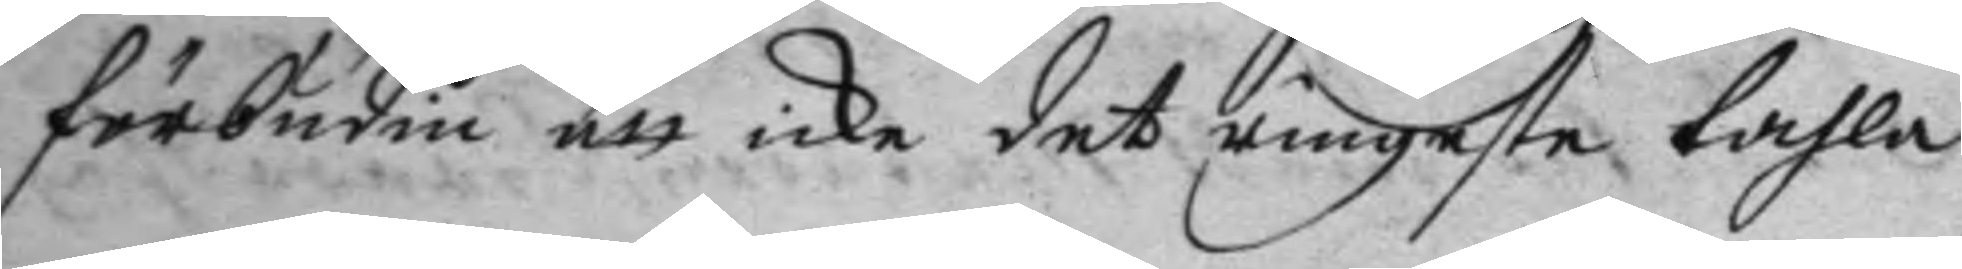förbudin att icke det ringatse tahla
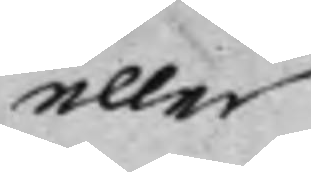eller
